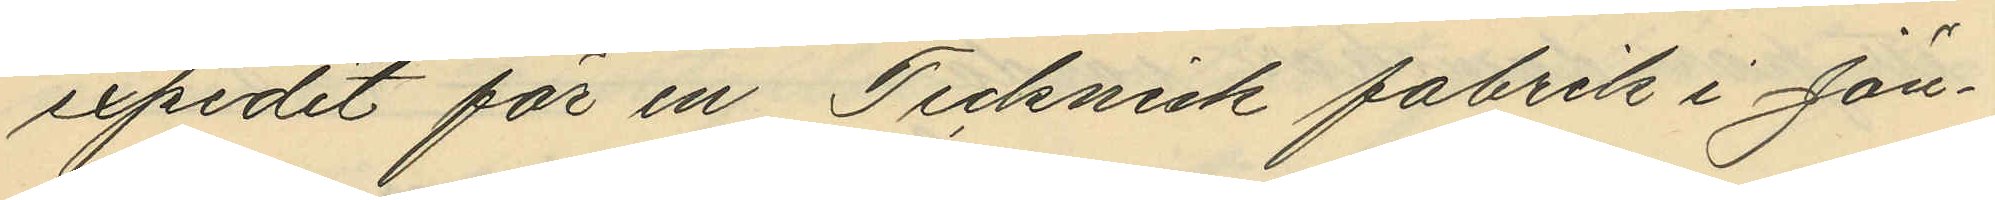expedit för en Teknisk fabrik i Jön¬
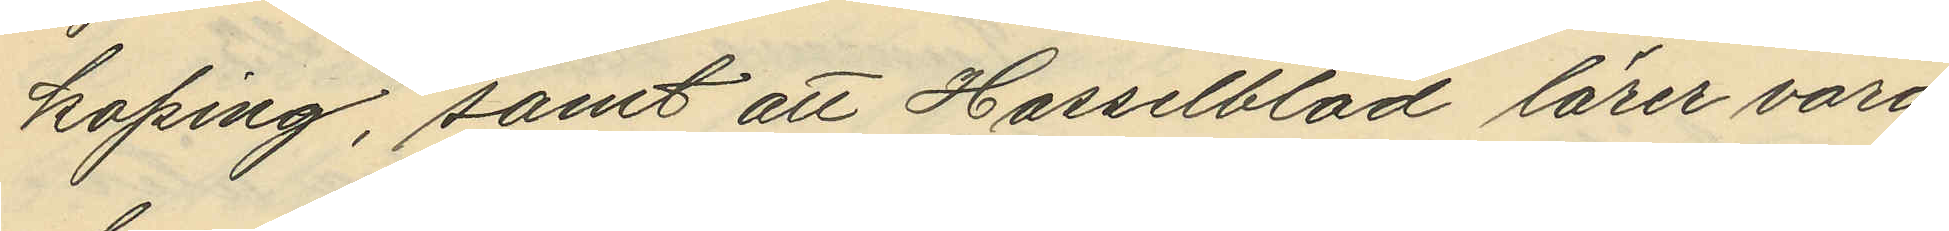köping, samt att Hasselblad lärer vara
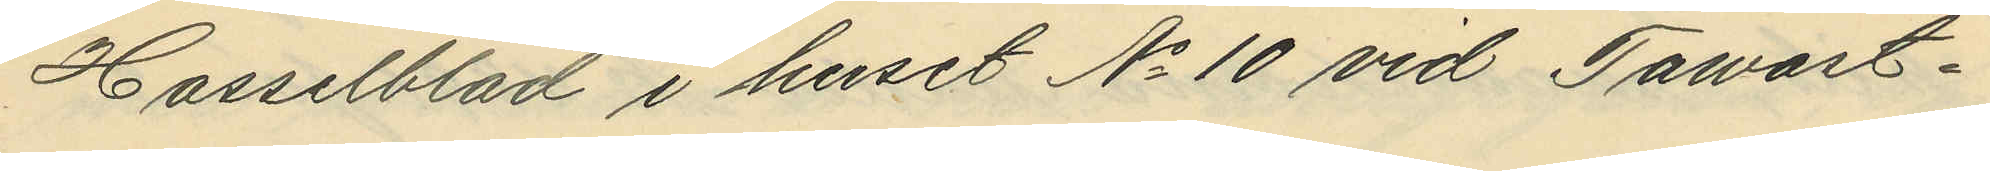Hasselblad i huset No 10 vid Tawast¬
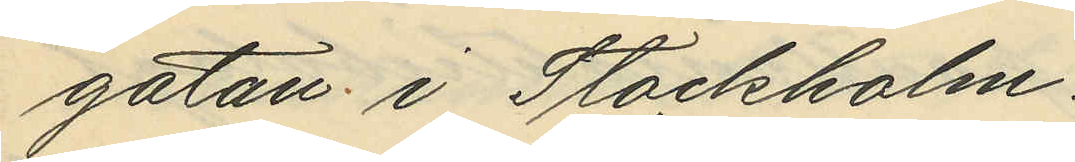gatan i Stockholm.
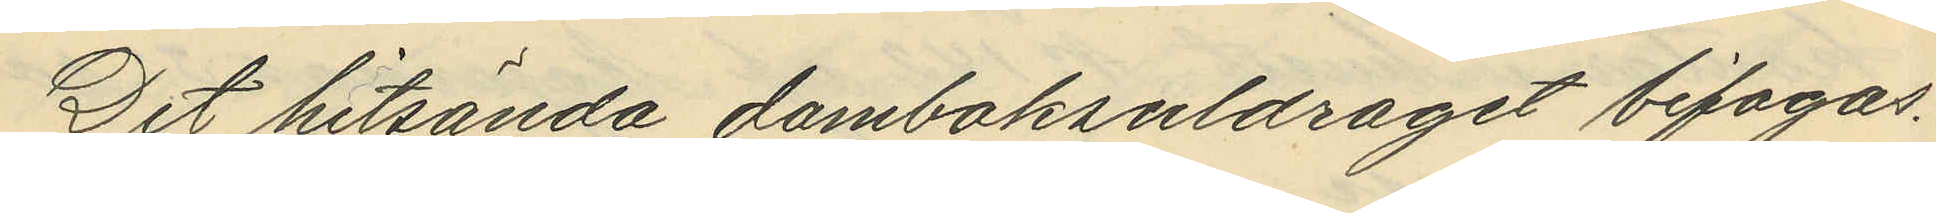Det hitsända domboksutdraget bifogas.
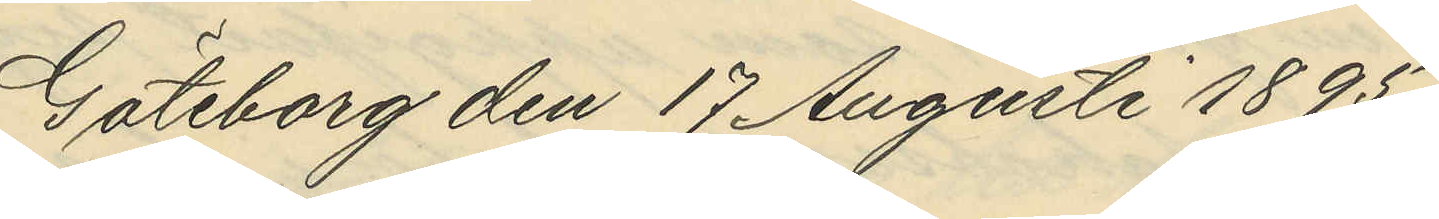Göteborg den 17 Augusti 1895
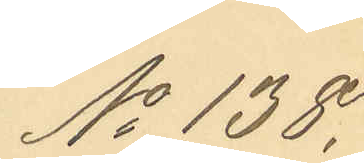No 138.
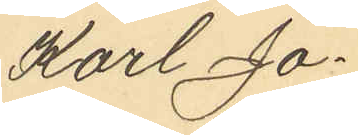Karl Jo¬
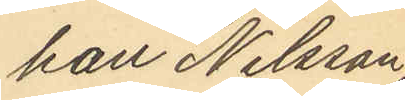han Nilsson,
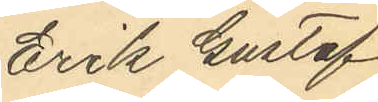Erik Gustaf
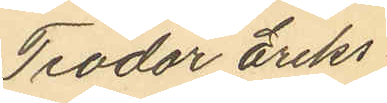Teodor Eriks
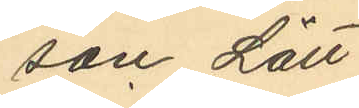son Lätt
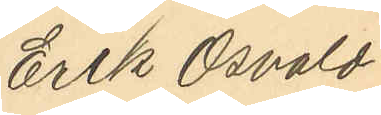Erik Osvald
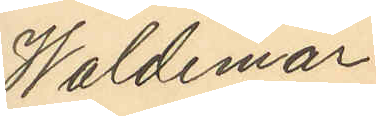Waldemar
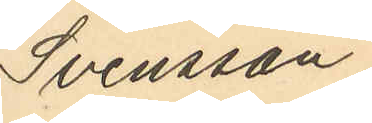Svensson
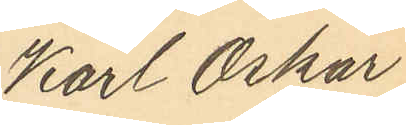Karl Oskar
